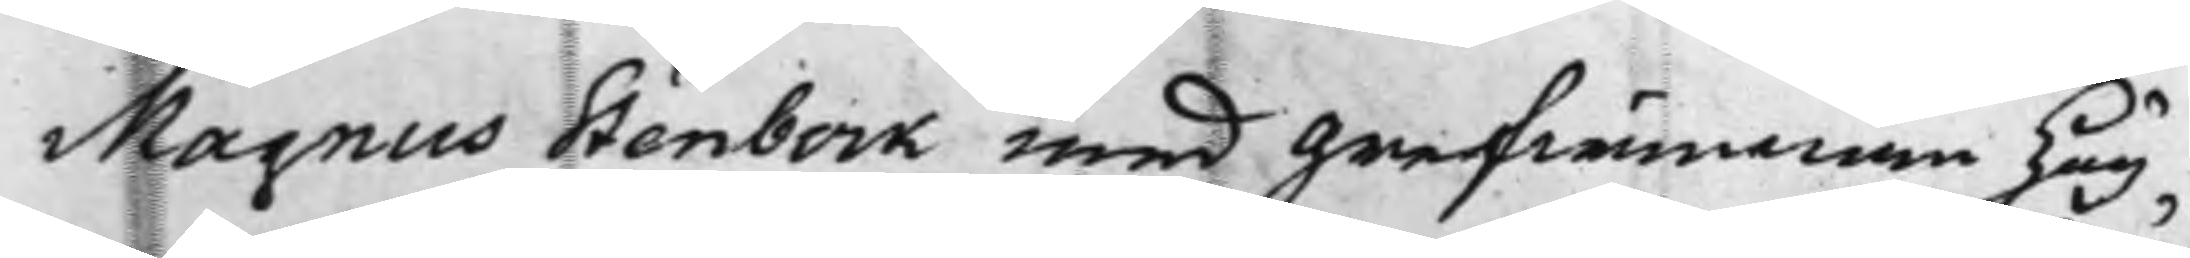Magnus Stenbock med Grefwinnan Hög¬
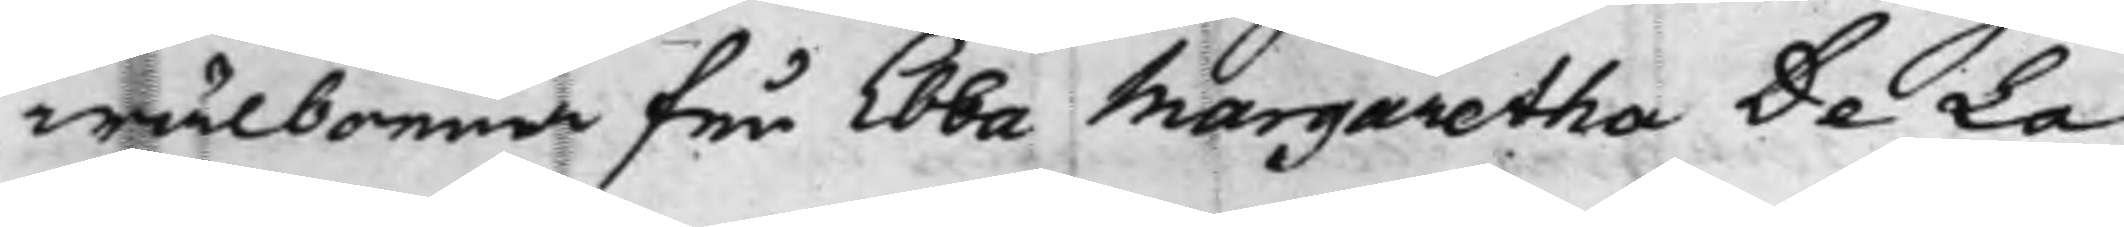wälborna Fru Ebba Margaretha De La
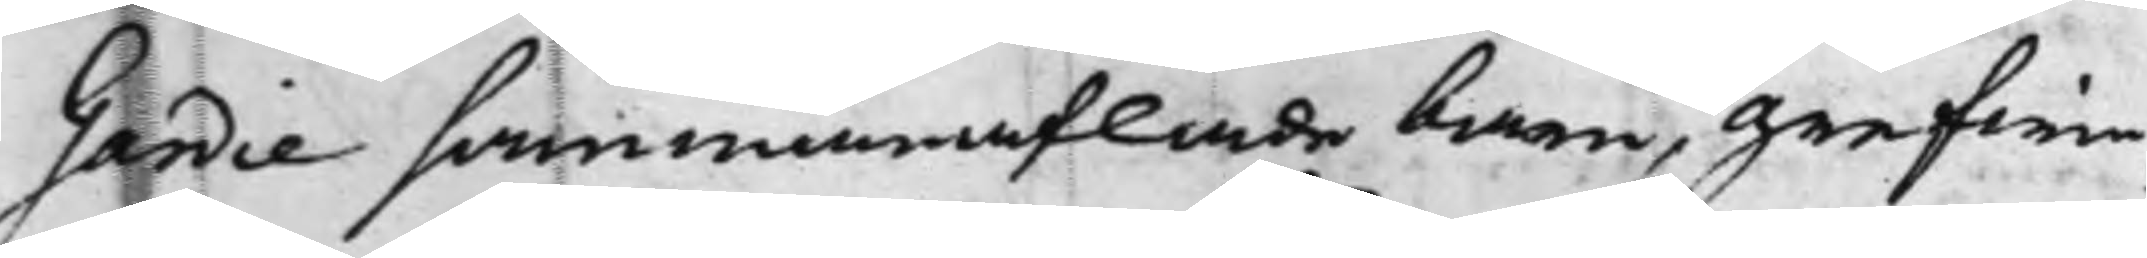Gardie sammanaflade barn, Grefwin¬
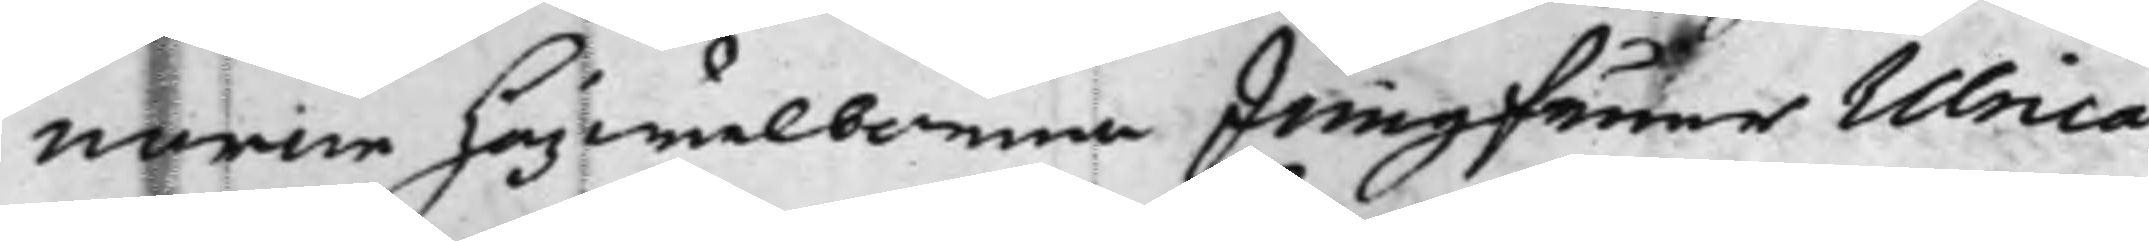norne högwälborna Jungfruer Ulnica
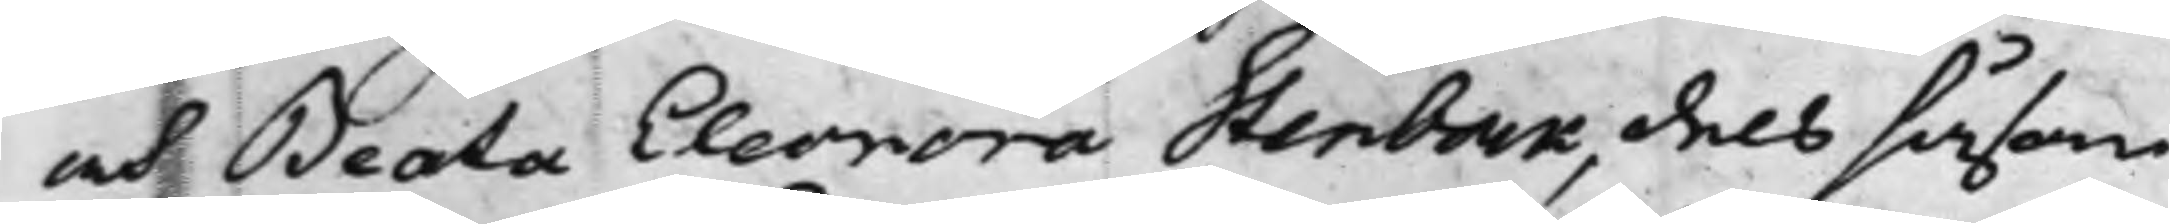och Beata Eleonora Stenbock, dels såsom
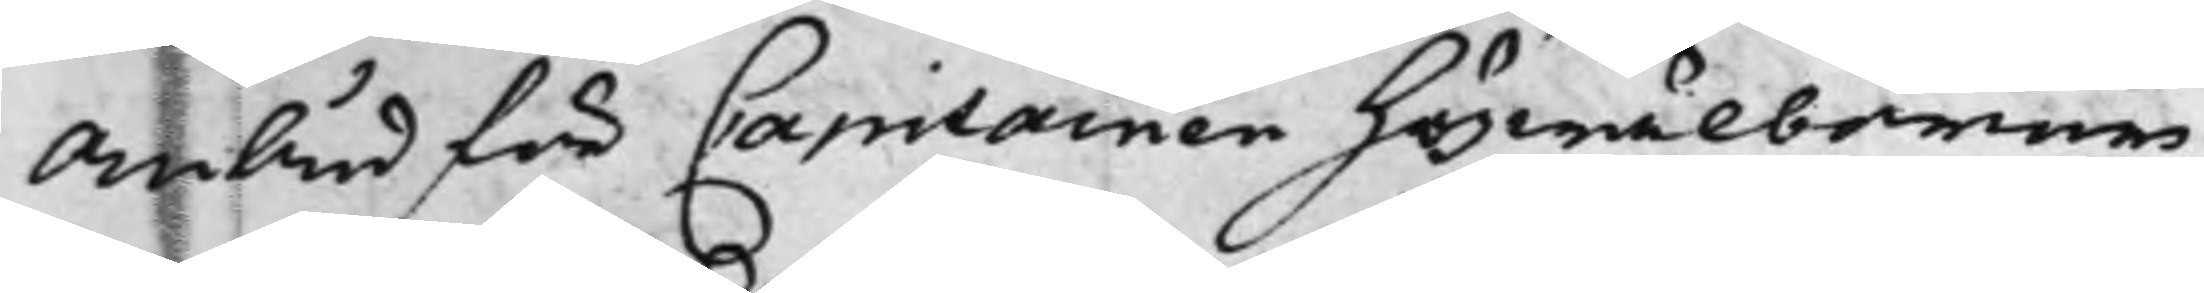Ombud för Capitainen Högwälborne
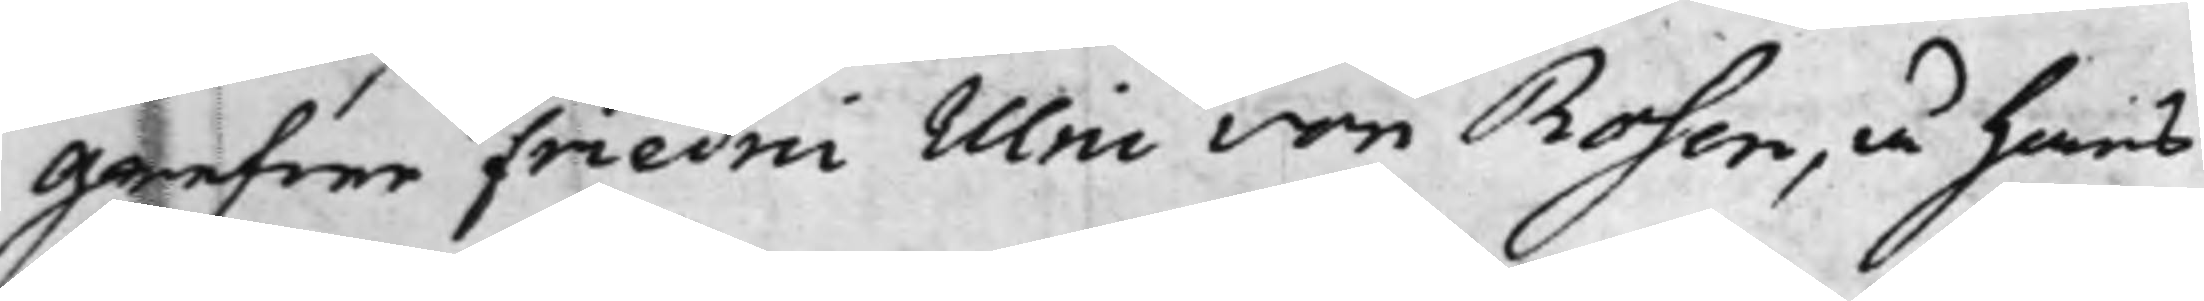Grefwe Friedric Ulric von Rosen, å hans
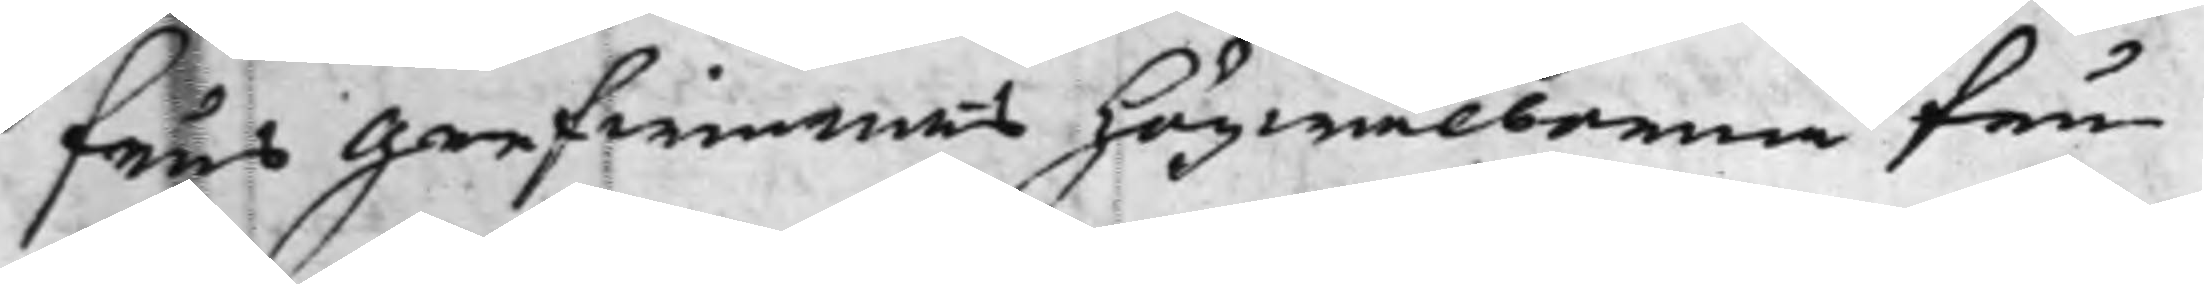Frus Grefwinnans Högwälborna Fru
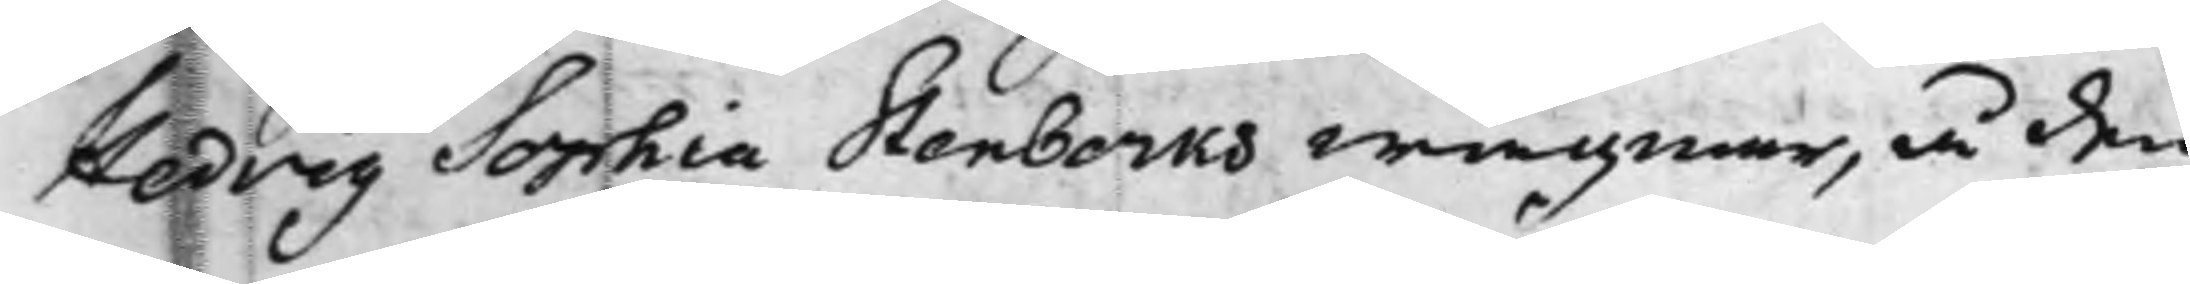Hedvig Sophia Stenbocks wägnar, å den
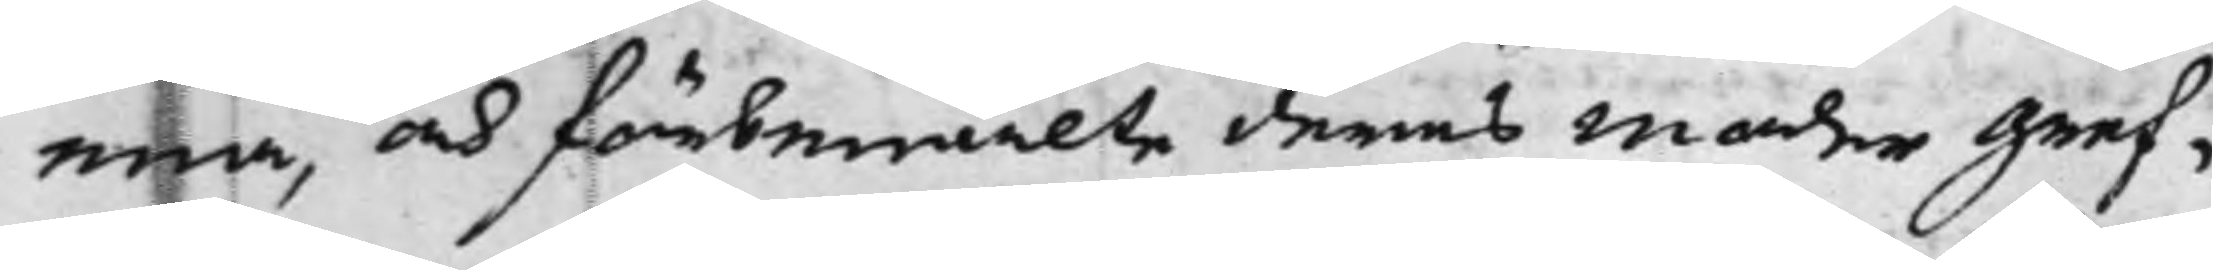ena, och förbemälte deras moder Gref¬
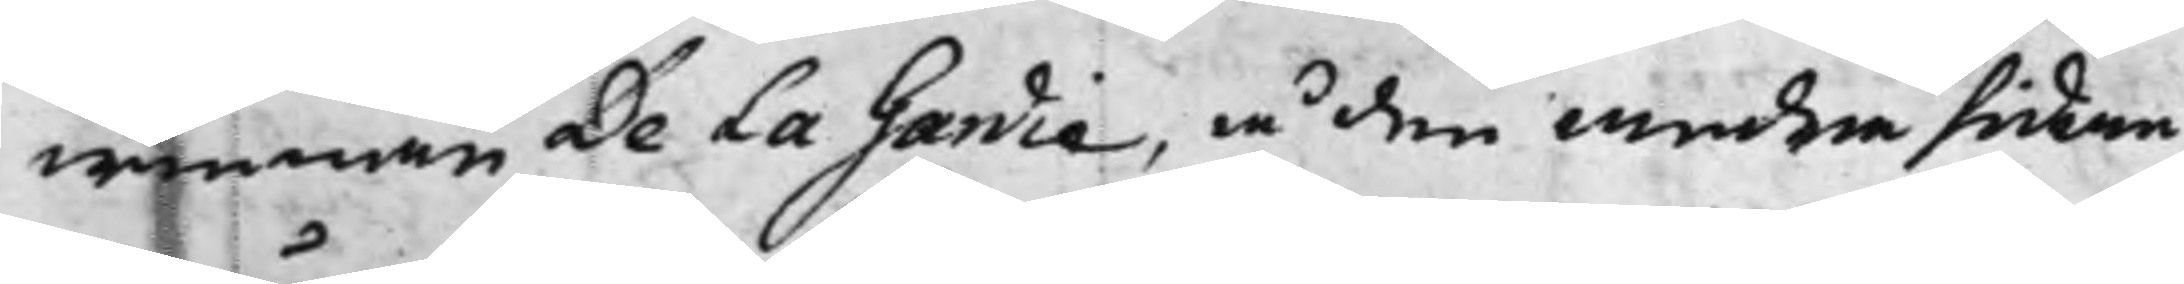winnan De La Gardie, å den andra sidan,
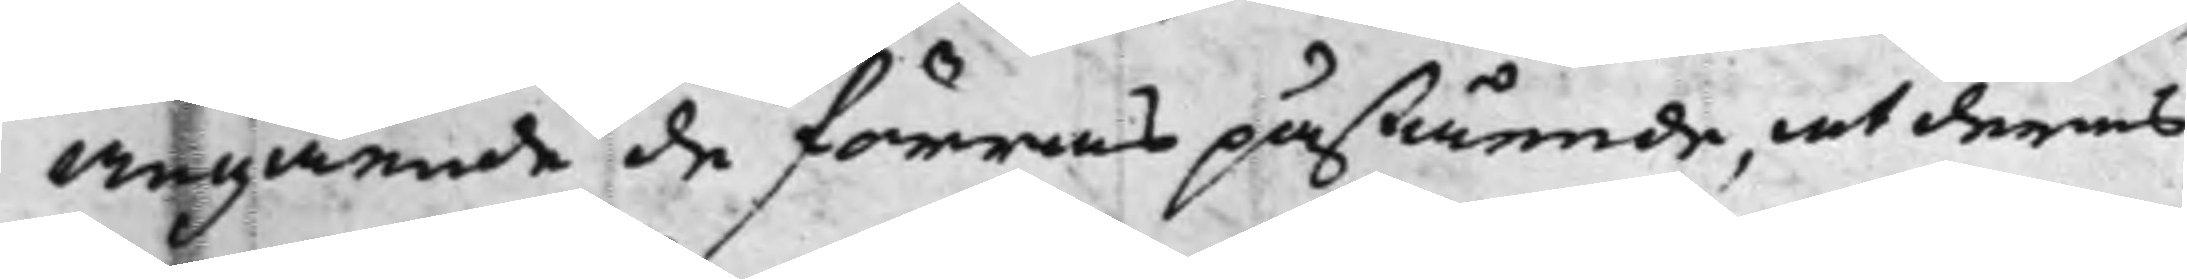angående de förras påstående, at deras
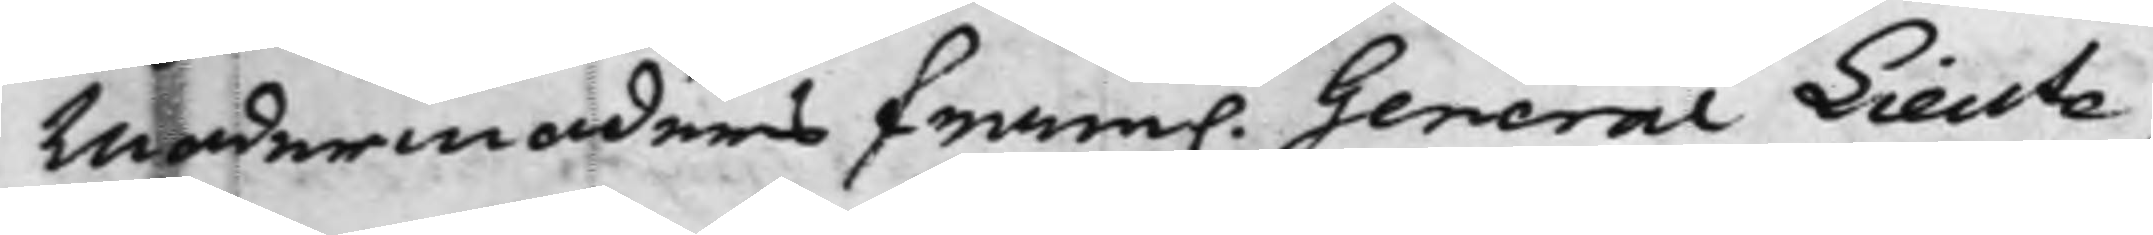Modermoders Fram. General Lieute¬
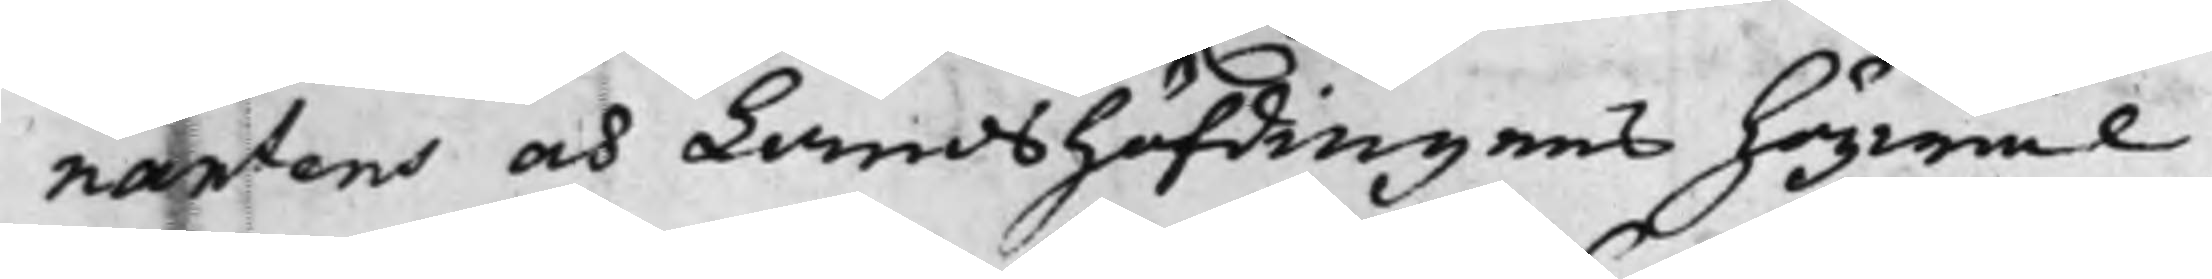nantens och Landshöfdingens Högwäl¬
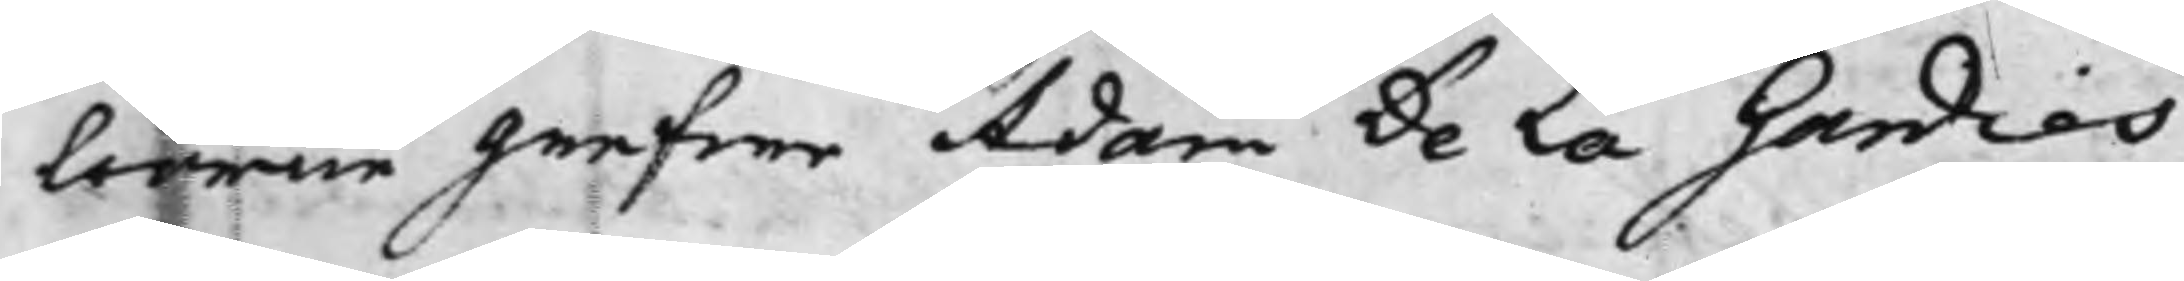borne Grefwe Adam De La Gardies
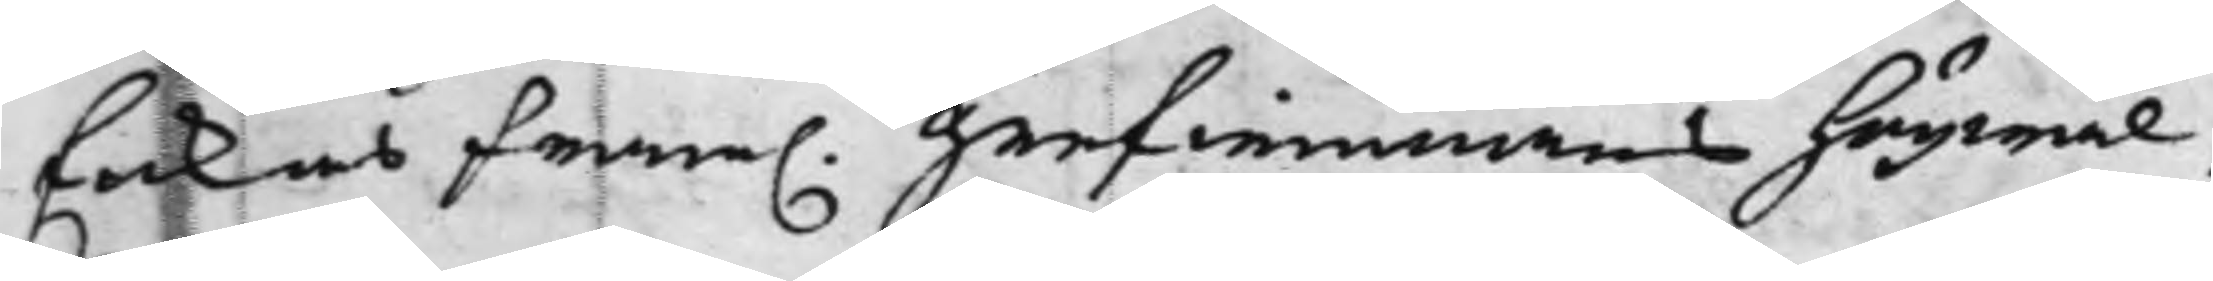Enkas Fram. Grefwinnans Högwäl¬
